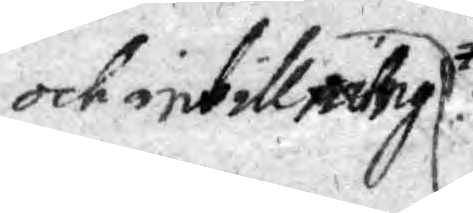och inbillning
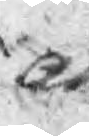att
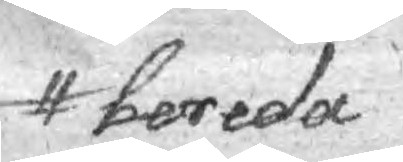bereda
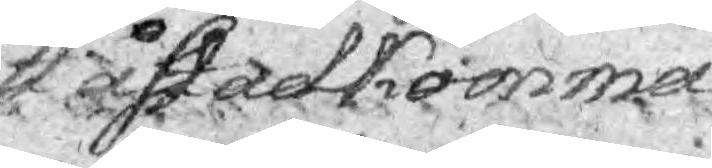åstadkomma
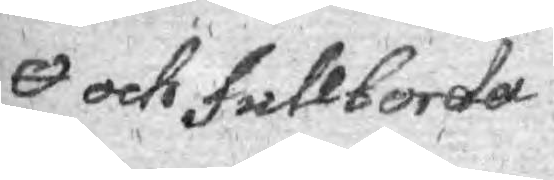och fullborda
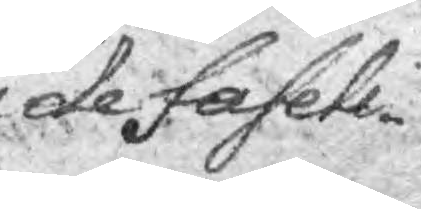de faseli¬
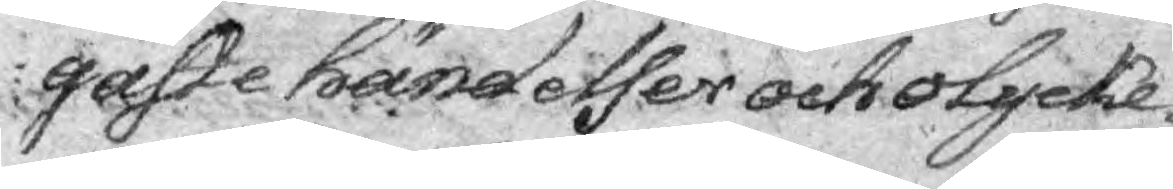gaste händelser och olycke¬
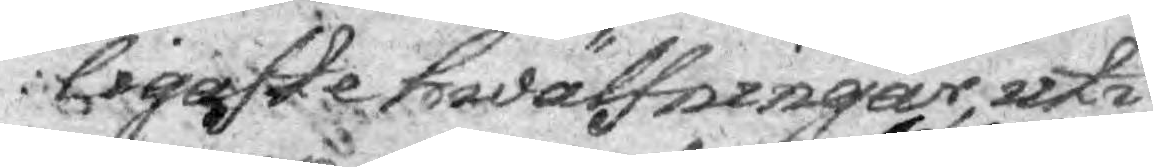ligaste hwälfningar, uti
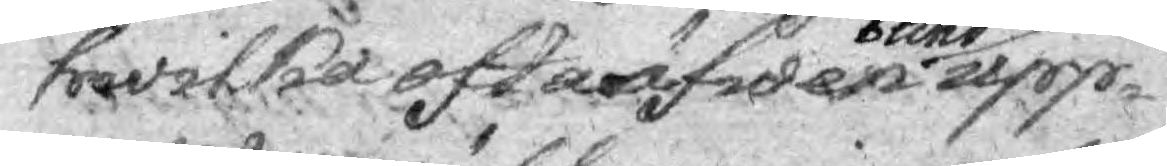hwilka ofta äfwen blind upp¬
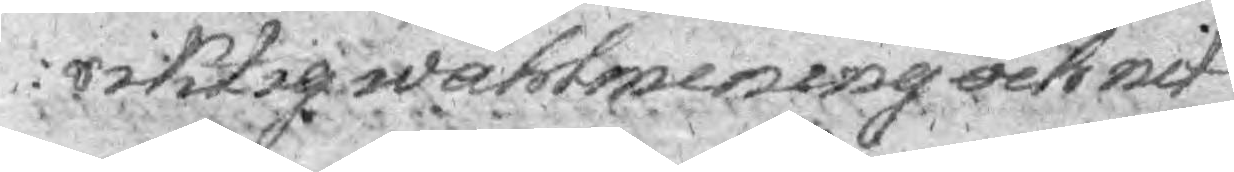riktig wählmening och nit
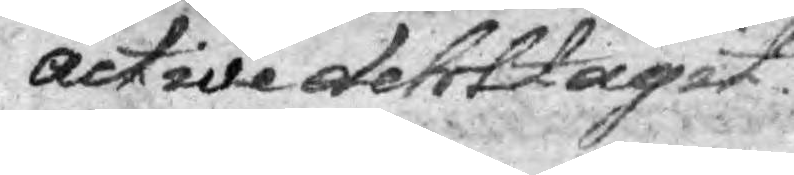active dertil tagit.
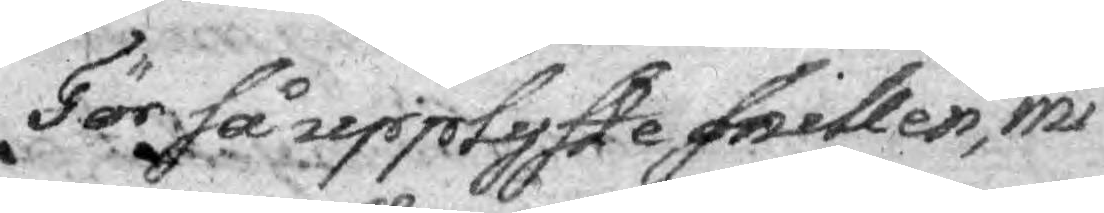För så uepplyfte snillen, mi¬
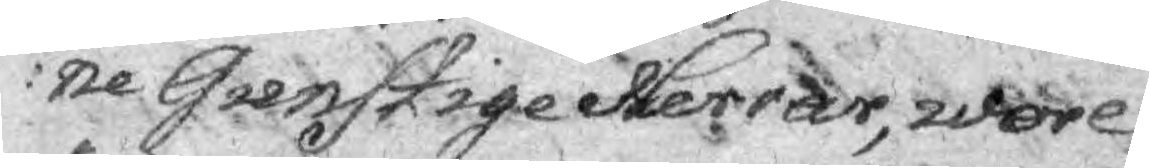ne Grenstige Herrar, wore
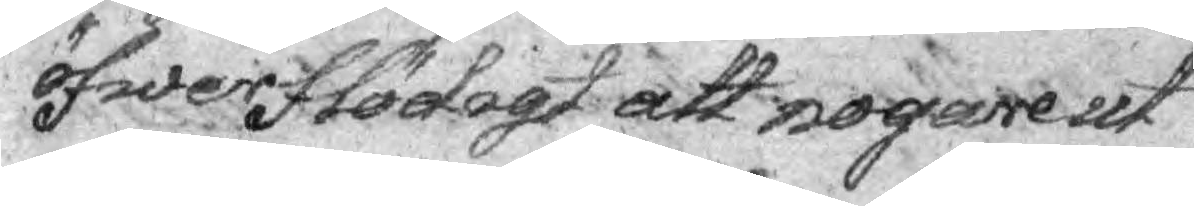öfwerflödigt att nogare ut¬
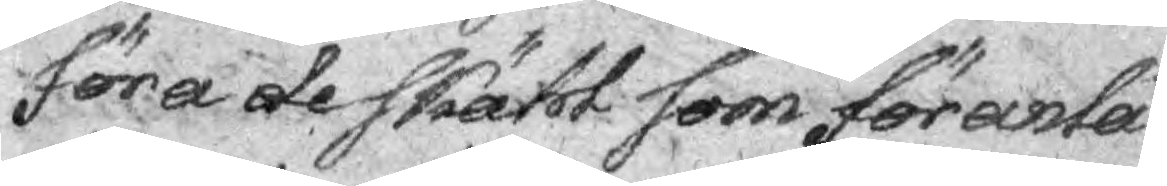föra de skäl som föranlå¬
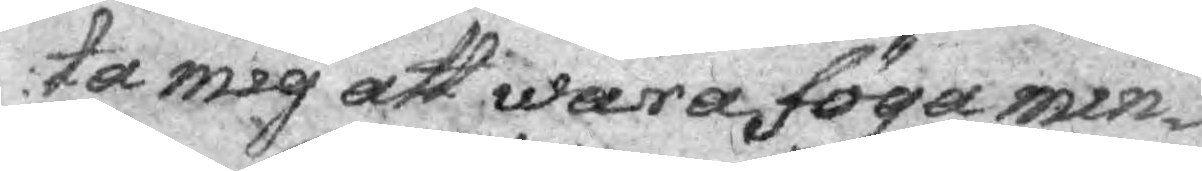ta mig att wara föga min¬
